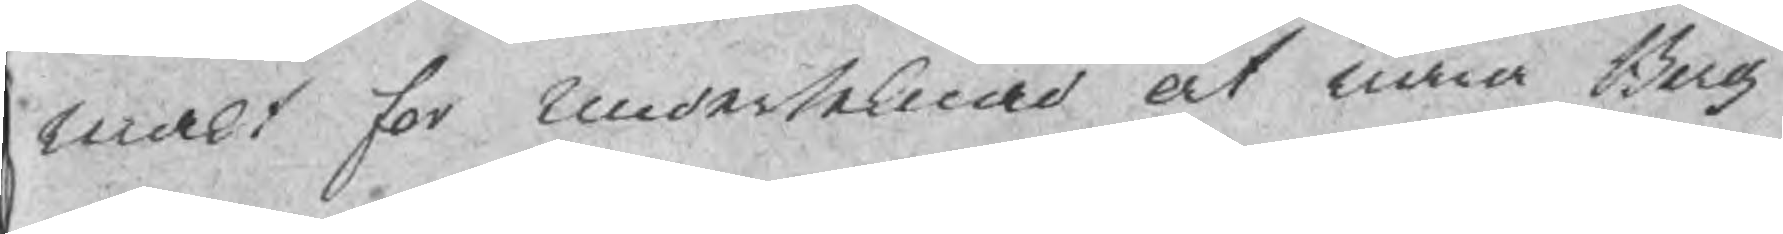makt for underteknad at wara Berg¬
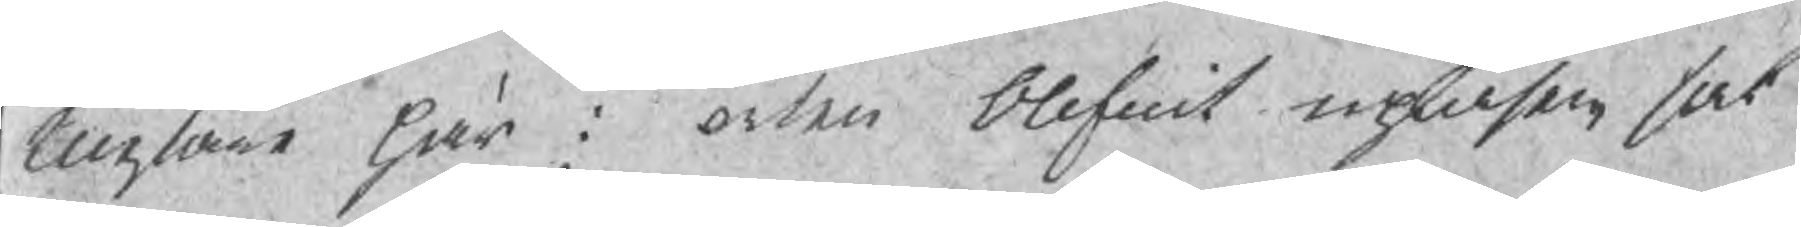Mestare här i orten blifwit uplasen sat¬
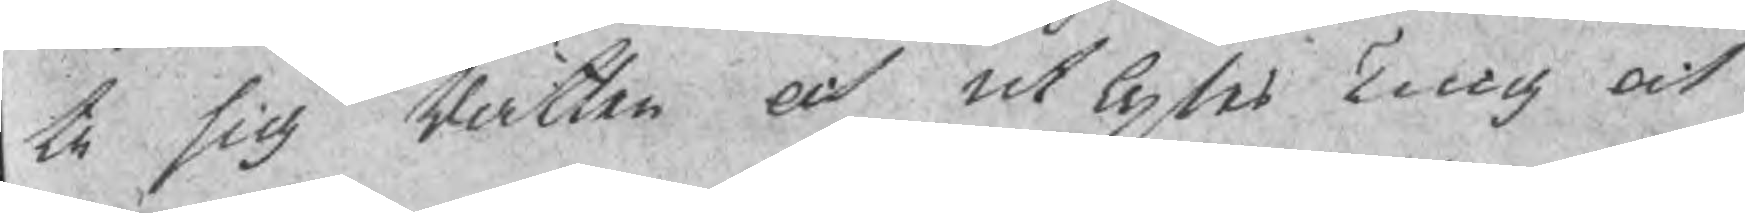te sig Rätten och utlystes Ting och
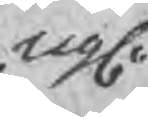upl
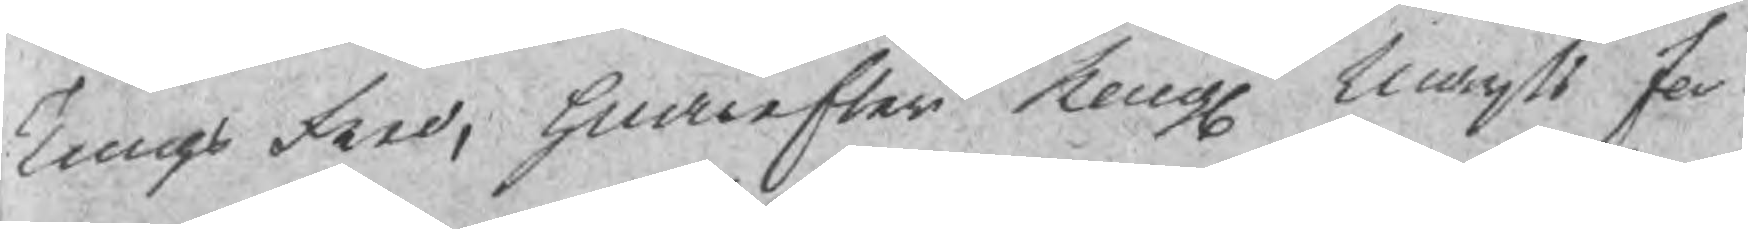Tings fred, hwarefter Kongl Maijts for¬
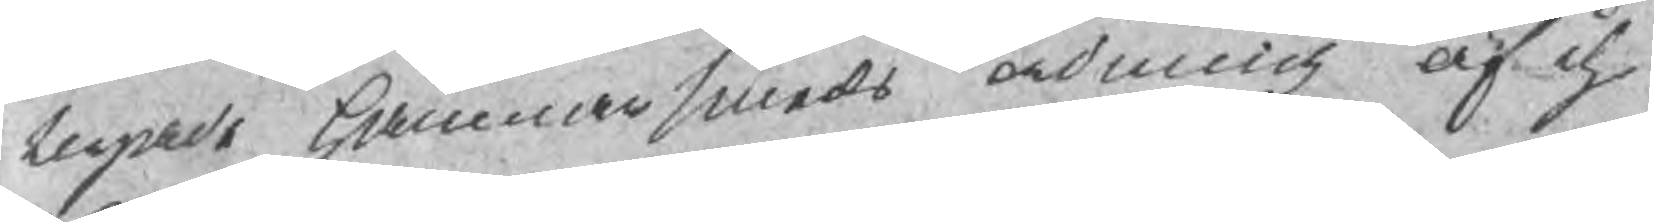nyade Hammarsmeds ordning af d
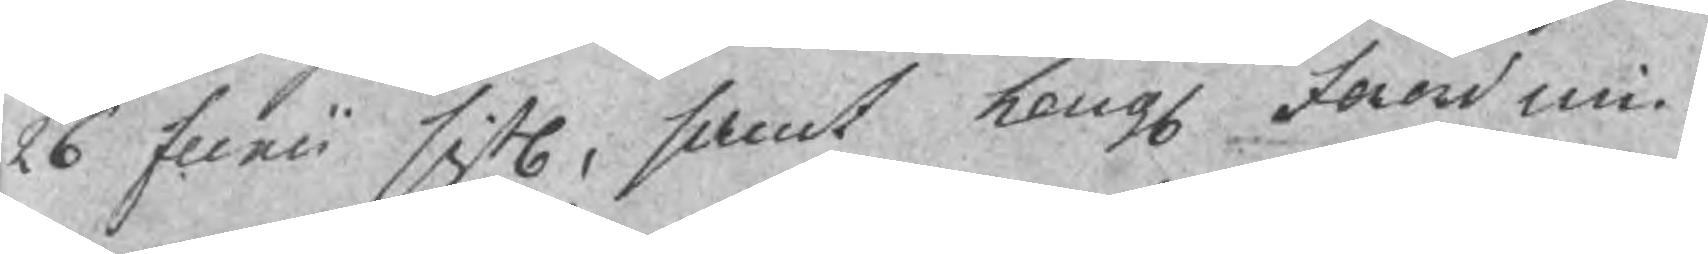26 Junii sistl, samt Kongl fordnin¬
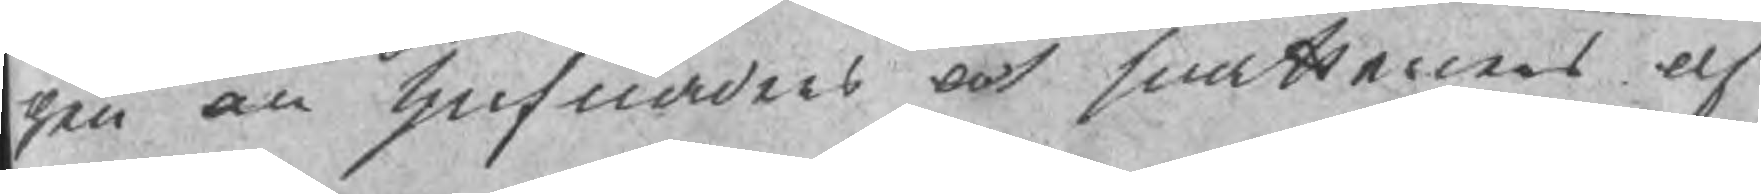gen om tjufnaders och snattarnes af¬
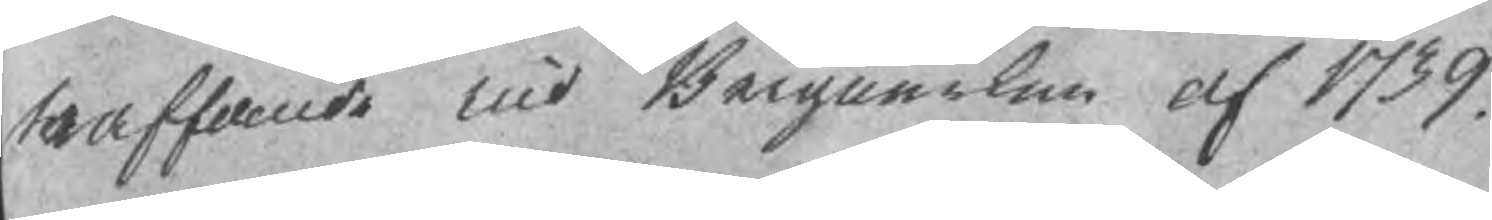straffande wid Bergwerken af 1739.
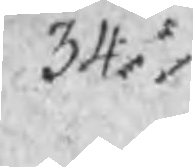34.
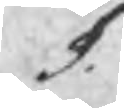§.
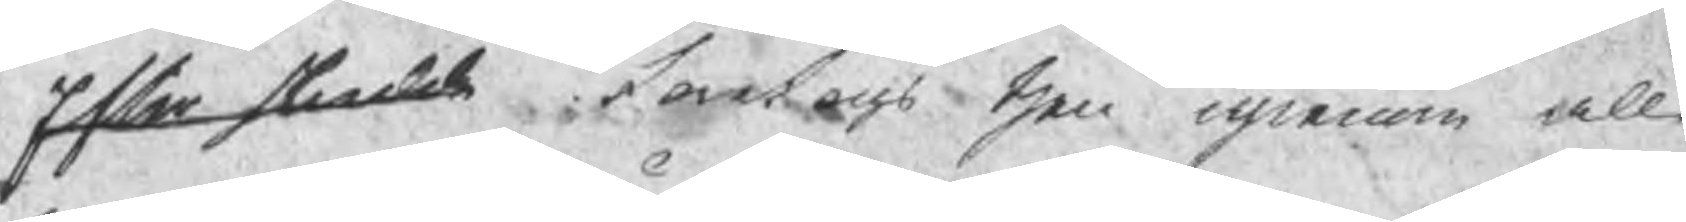¬ foretogs then igienom all
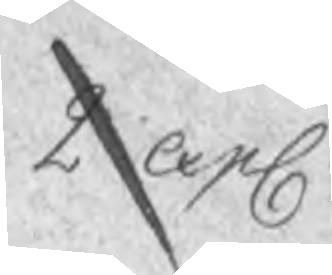2 expl.
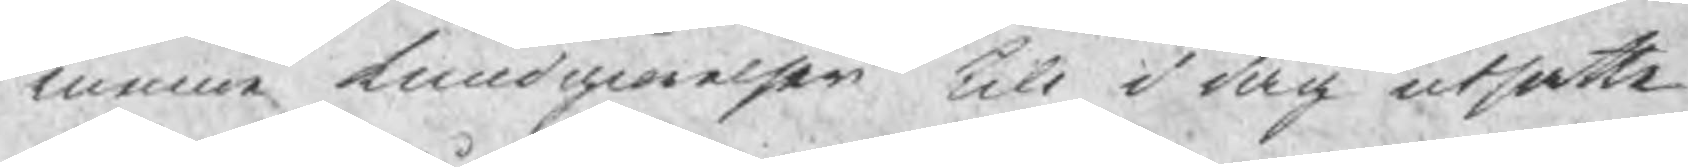manne kundgiörelser till i dag utsatte
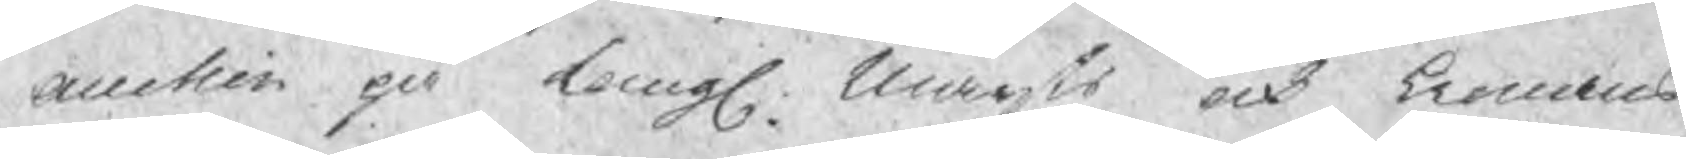auction på Kongl. Maijts och kronans
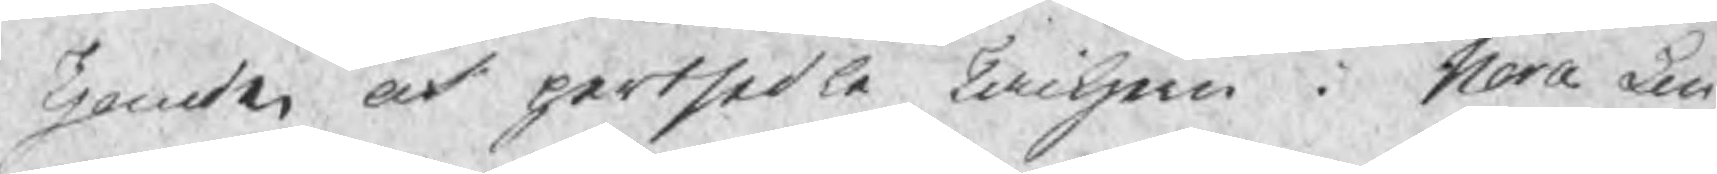Tjonde och partsedle Tackjern i Nora Lin¬
